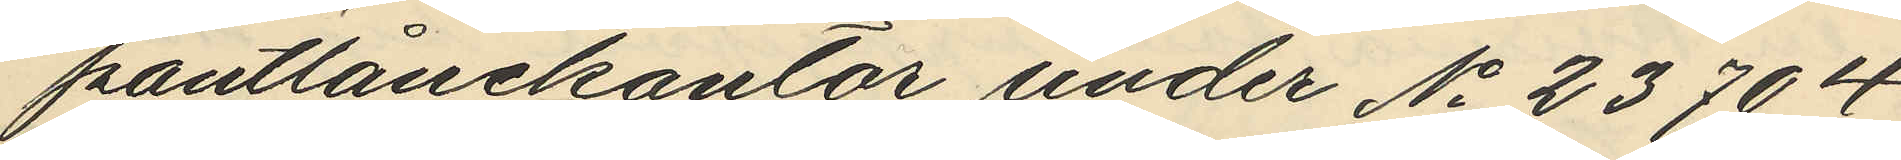pantlånekontor under No 23704
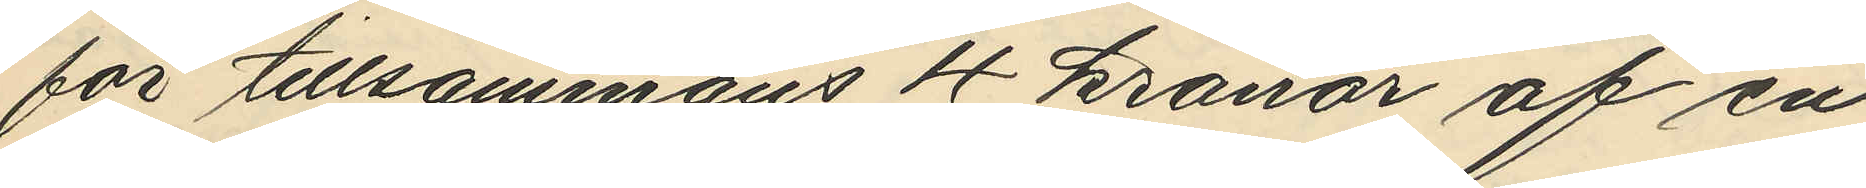för tillsammans 4 kronor af en
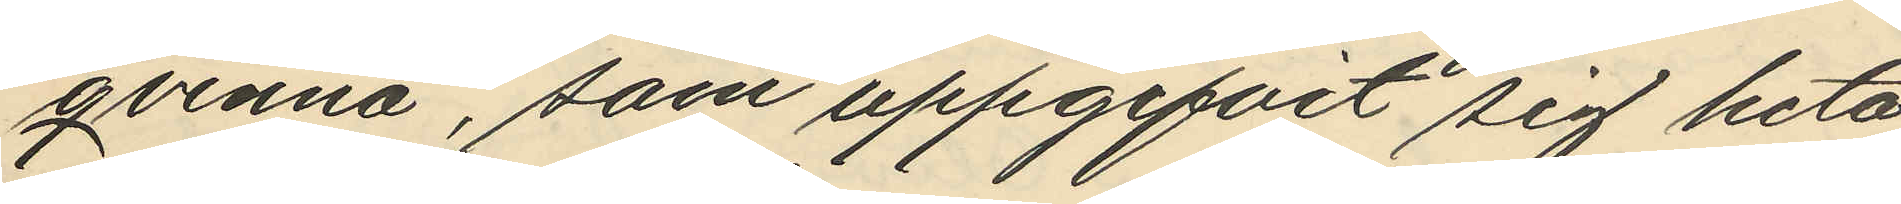qvinna, som uppgifvit sig heta
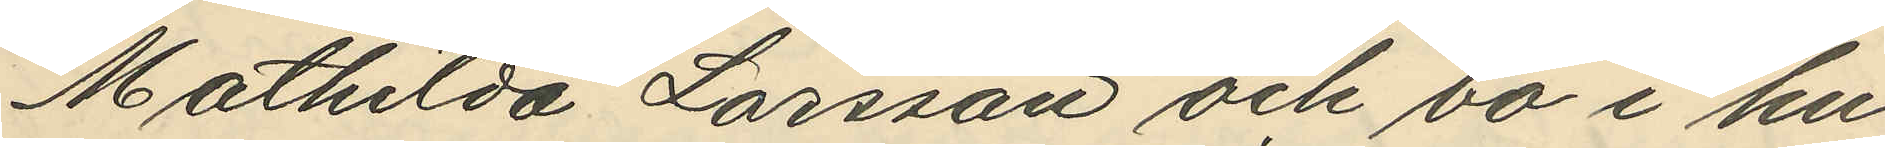Mathilda Larsson och bo i hu¬
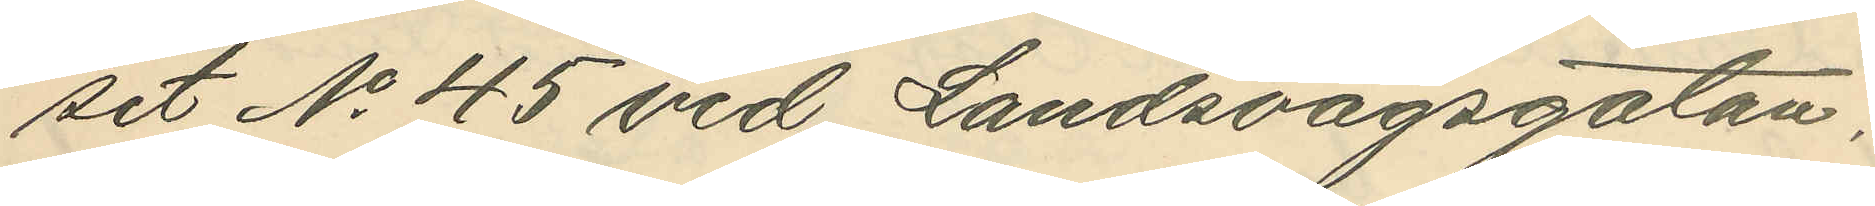set No 45 vid Landsvägsgatan;
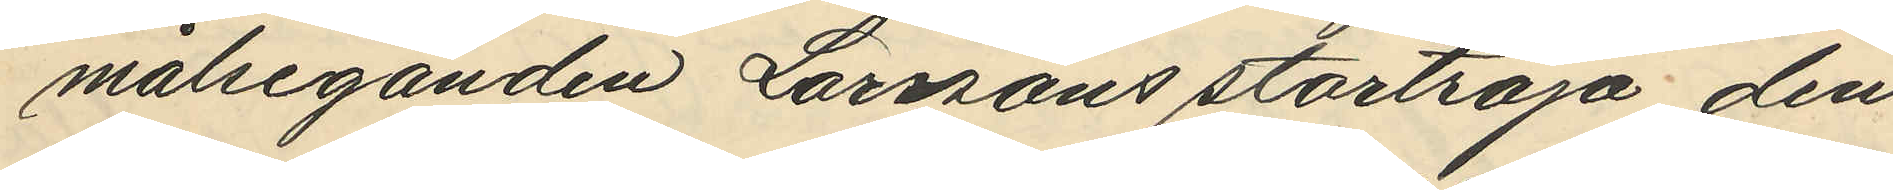målseganden Larssons stortröja den
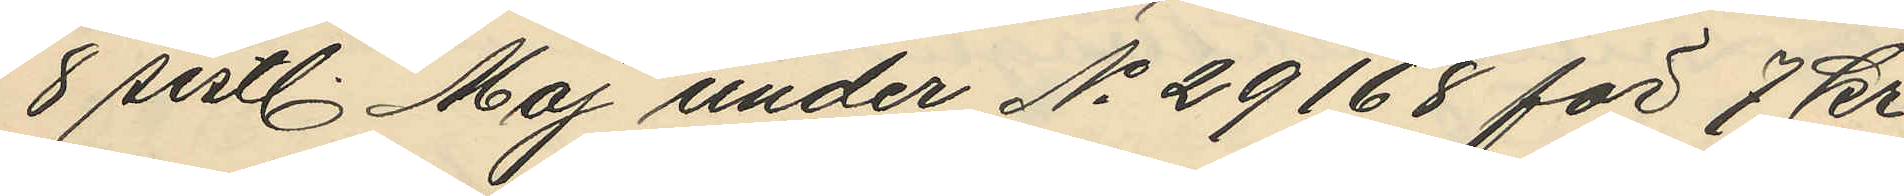8 sistl. Maj under No 29168 för 7 kr.
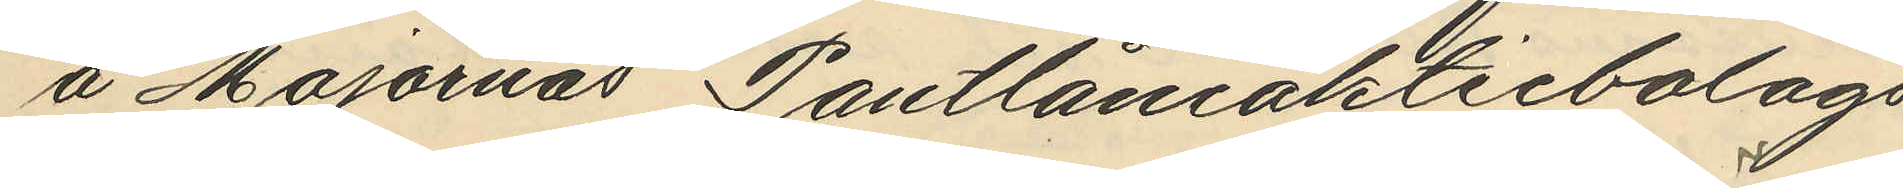å Majornas Pantlåneaktiebolags
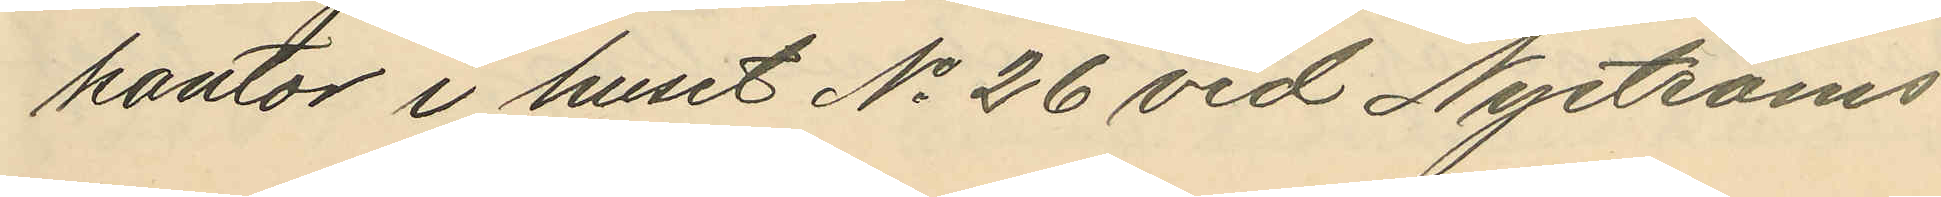kontor i huset No 26 vid Nyströms¬
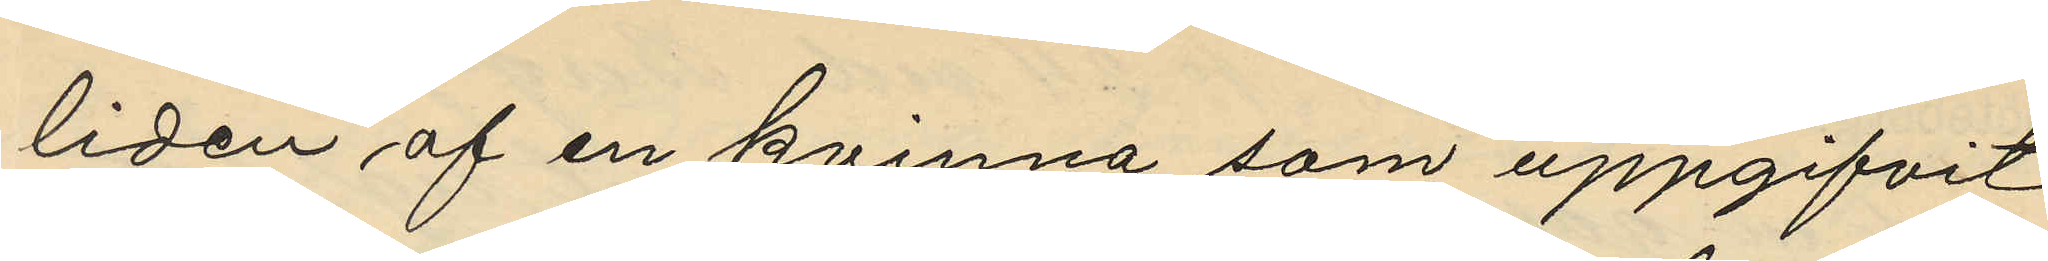liden af en kvinna som uppgifvit
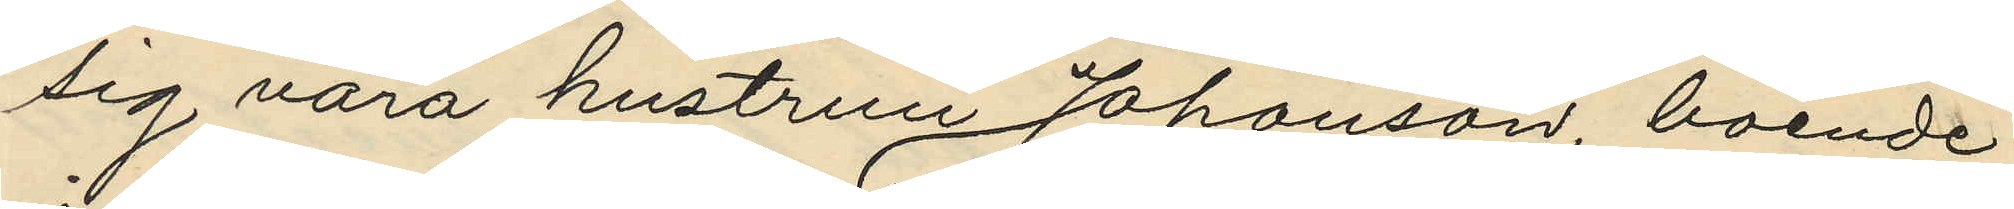sig vara hustrun Johanson, boende
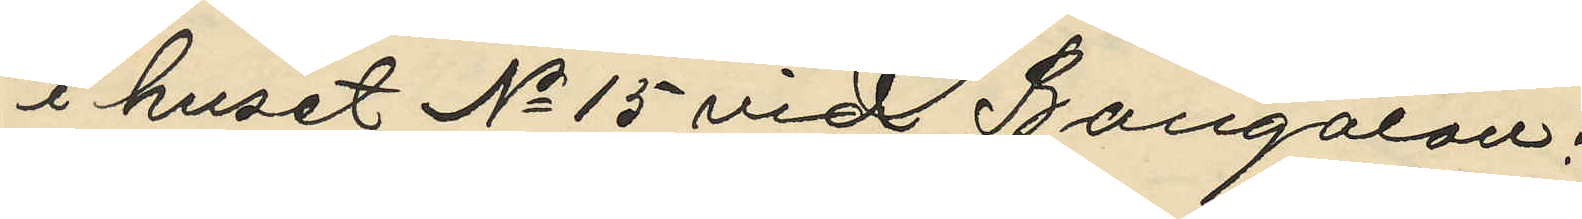i huset No 15 vid Bangatan;
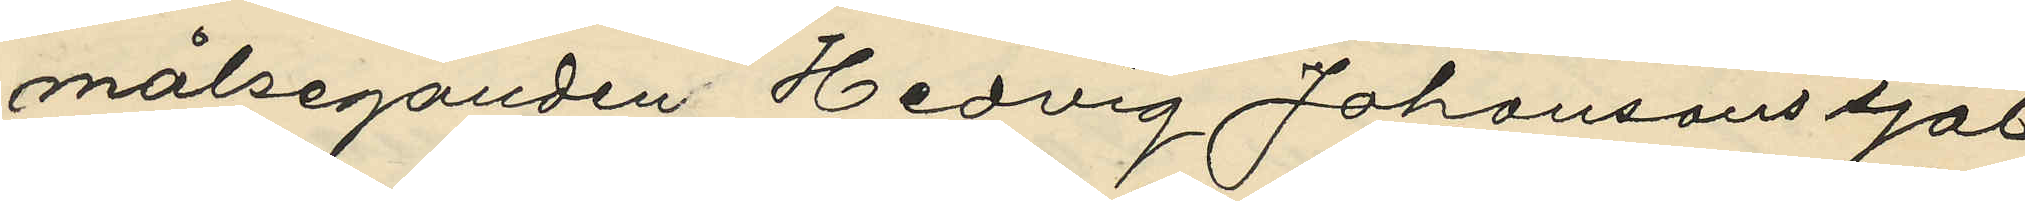målseganden Hedvig Johansons sjal
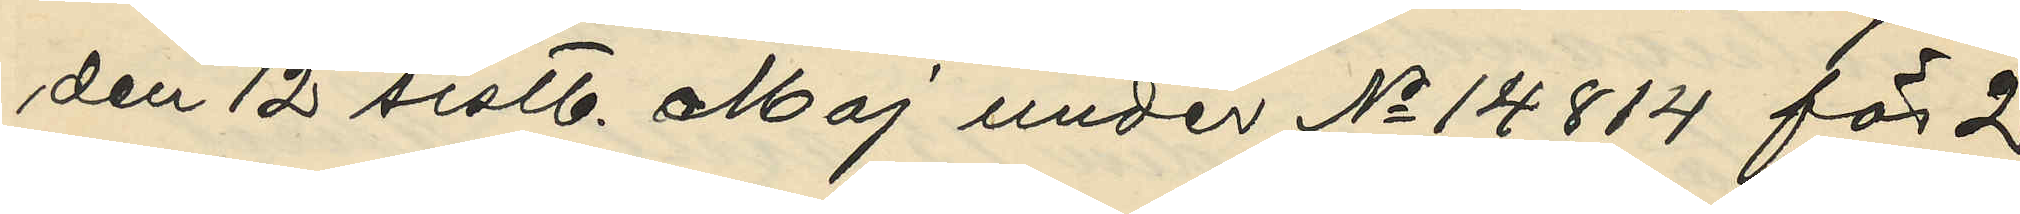den 12 sistl. Maj under No 14814 för 2
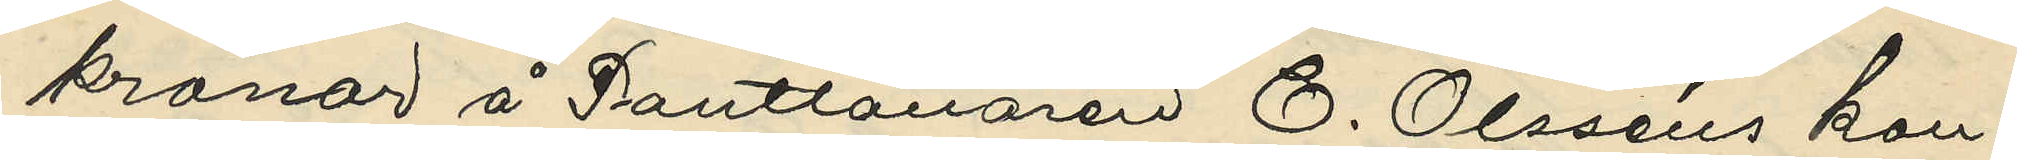kronor å Pantlånaren C. Olsséns kon¬
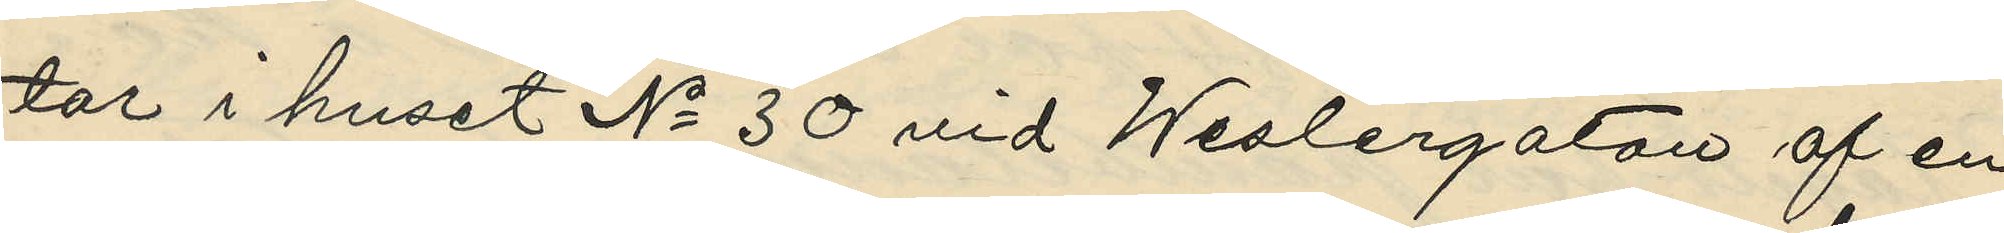tor i huset No 30 vid Weslergatan af en
